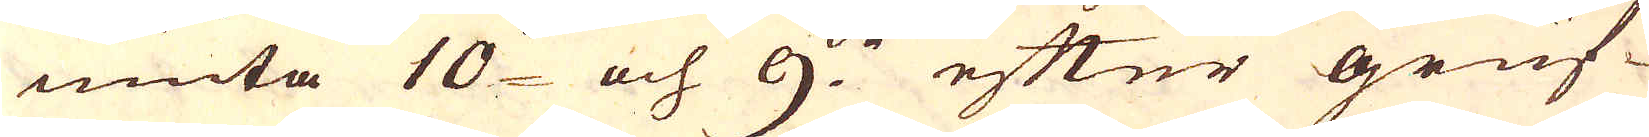niuta 10:de och 9:de efter gruf-
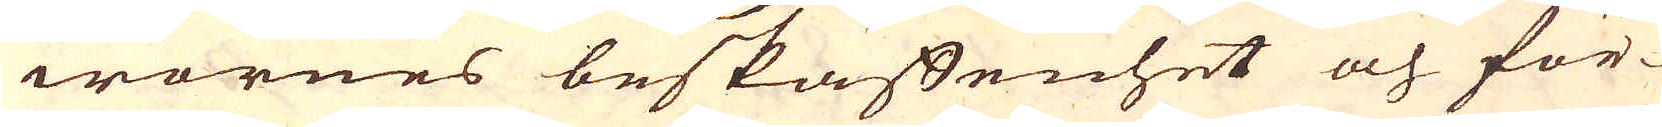wornes beskaffenhet och för-
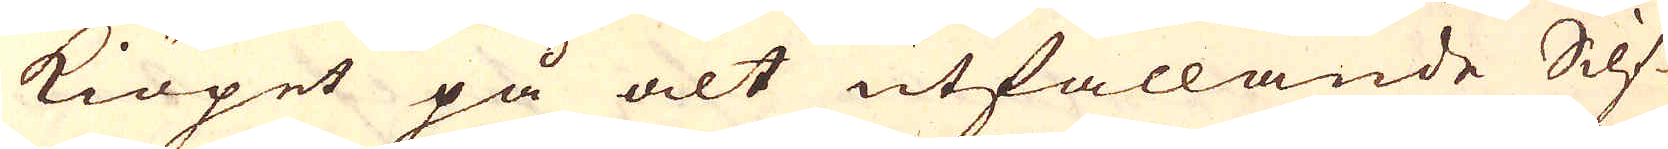kiöpet på alt utfallande Silf-
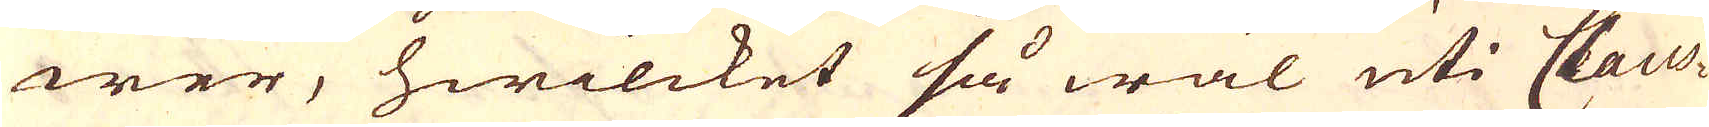wer, hwilcket så wäl uti Claus-
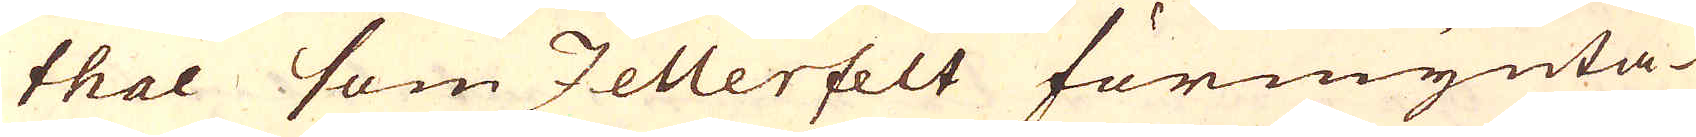thal som Zellerfelt förmynta-
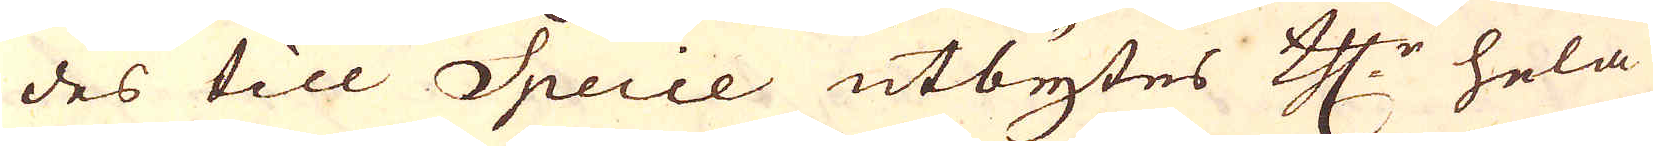des till Specie utbytes th:r hela
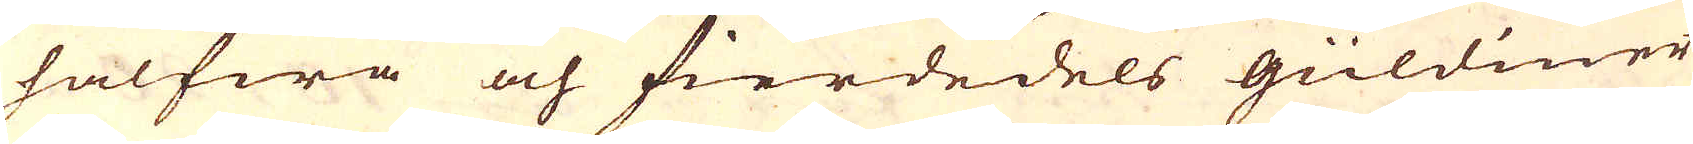halfwa och fierdedels güldiner
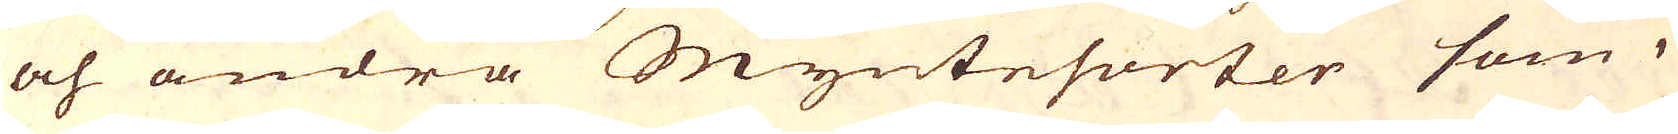och andra Myntesorter som i
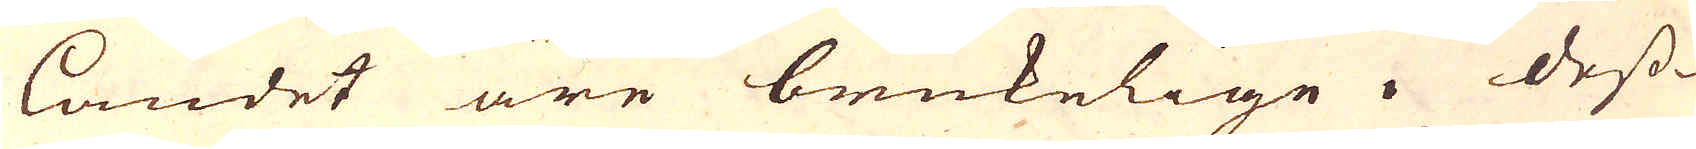landet äre brukelige. Dess-
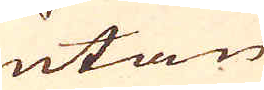utan
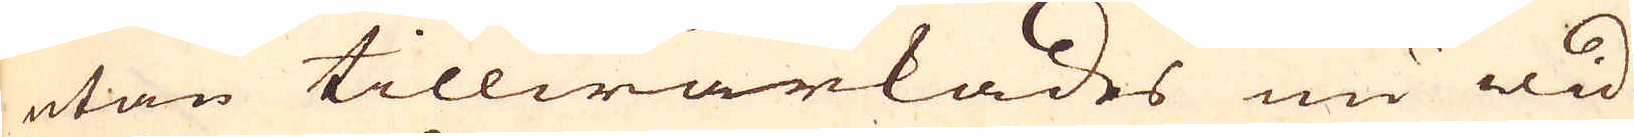utan tillwärkades nu wid
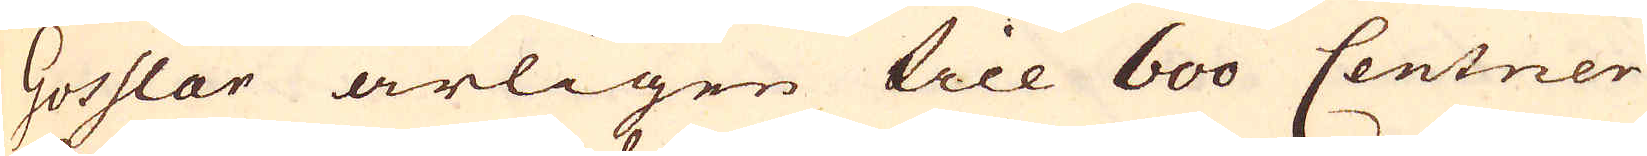Gosslar årligen till 600 Centner
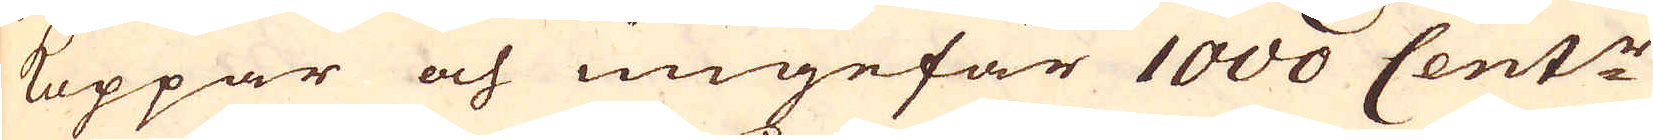Koppar och ungefär 1000 Cent:r
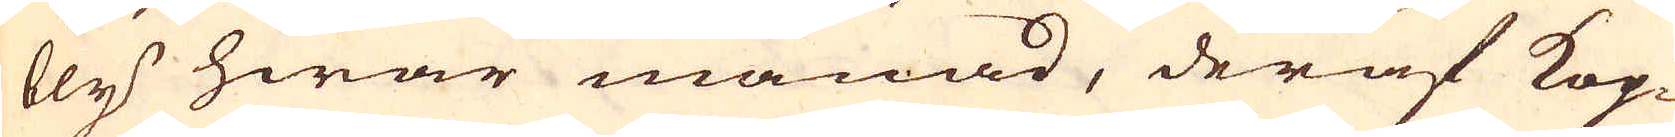bly hwar månad, deraf Kop-
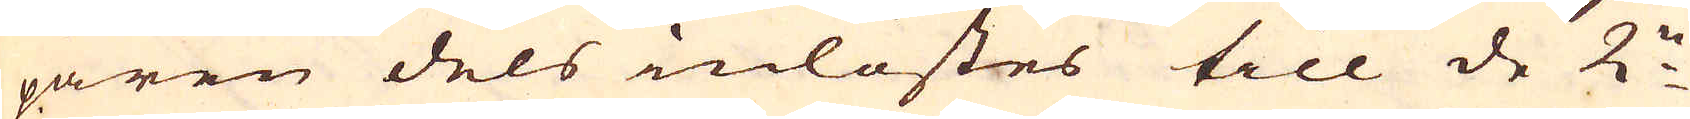paren dels inlöstes till de 2:ne
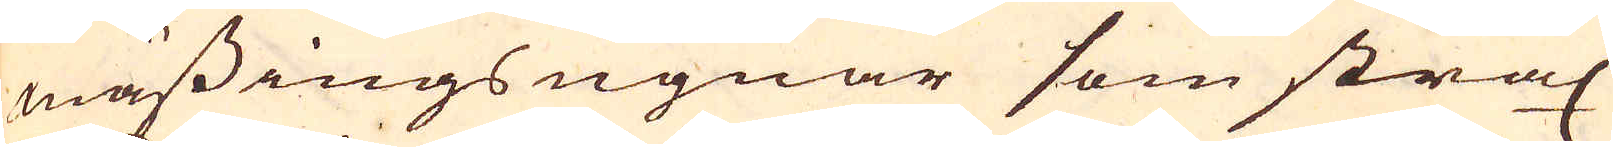mässings ugnar som strax
